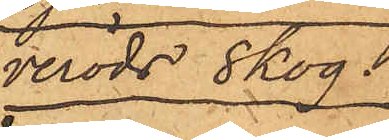veröds skog.
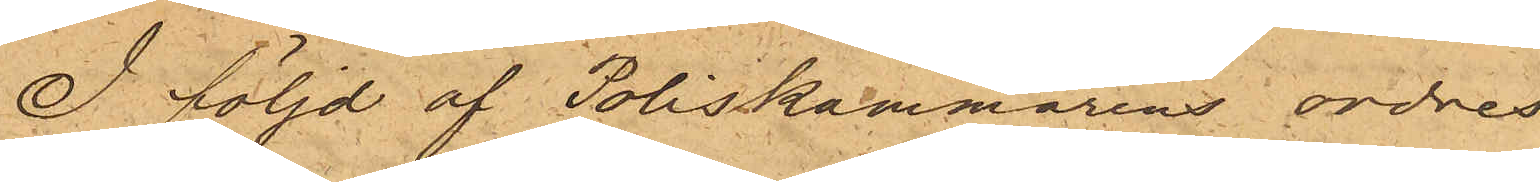I följd af Poliskammarens ordres
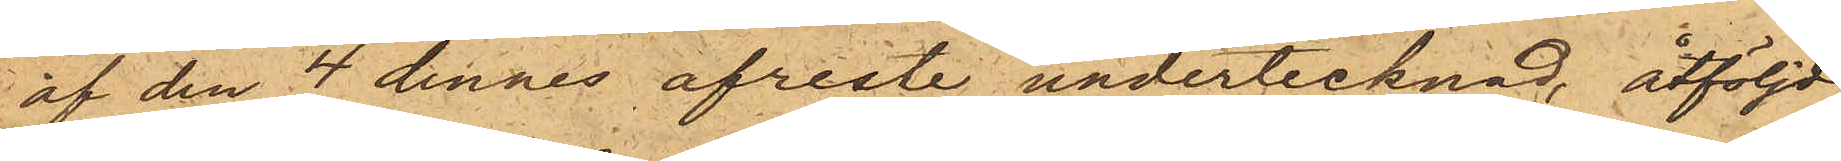af den 4 dennes afreste undertecknad, åtföljd
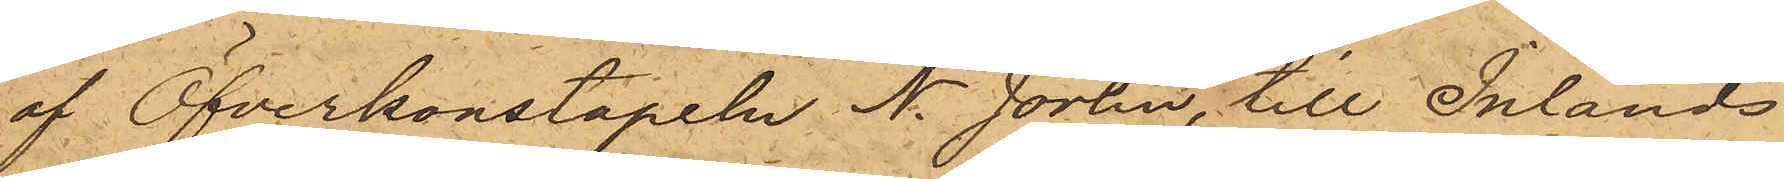af Öfverkonstapeln N. Jörlin, till Inlands
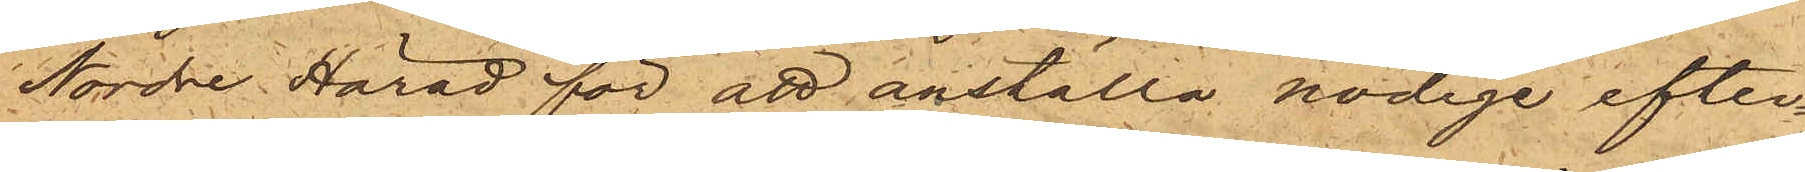Nordre Härad för att anställa nödige efter¬
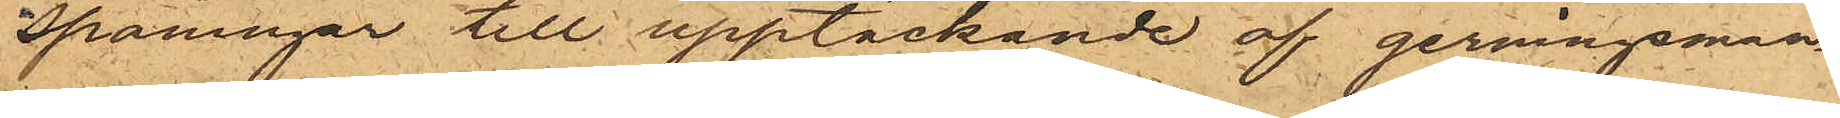spaningar till upptäckande af gerningsman¬
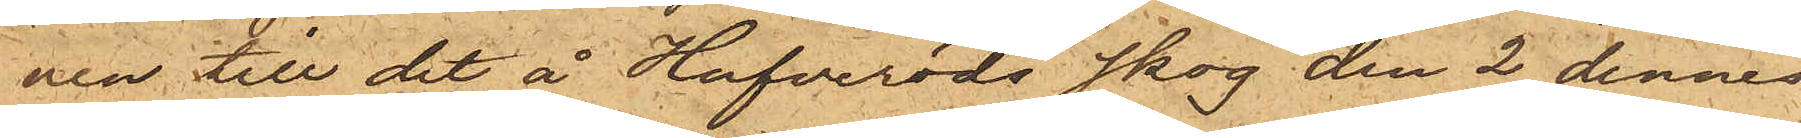nen till det å Hufveröds skog den 2 dennes
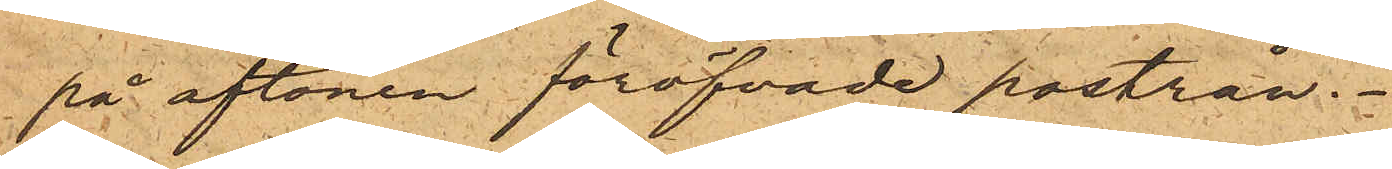på aftonen föröfvade postrån.
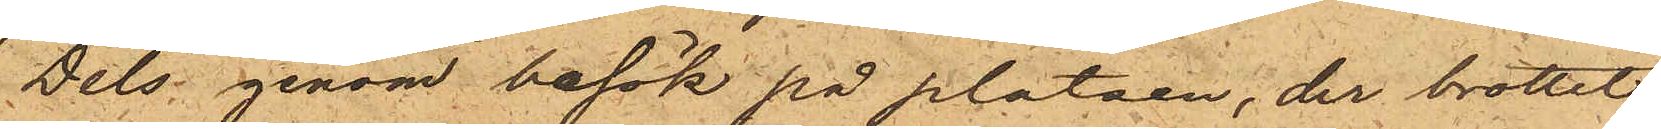Dels genom besök på platsen, der brottet
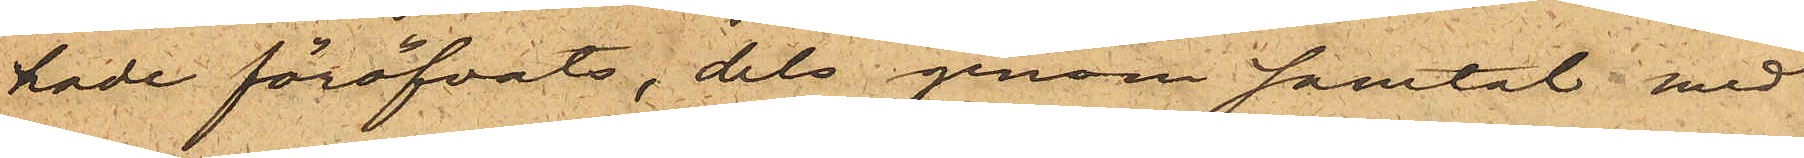hade föröfvats, dels genom samtal med
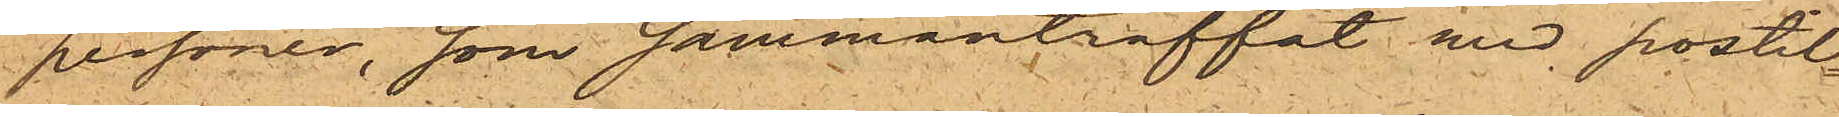personer, som sammanträffat med postil¬
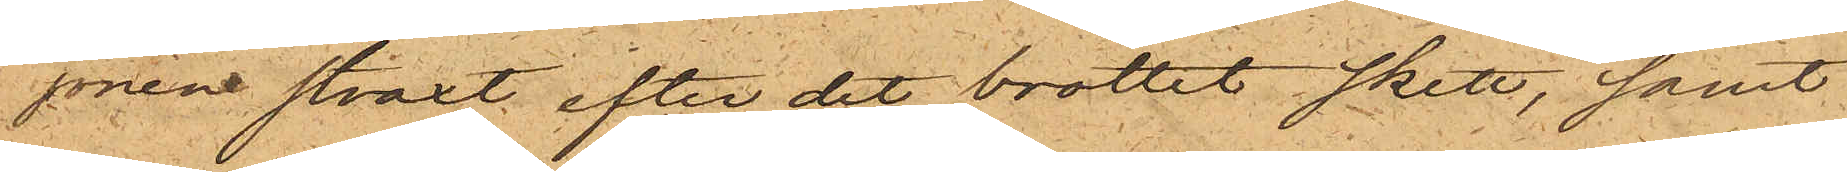jonen straxt efter det brottet skett, samt
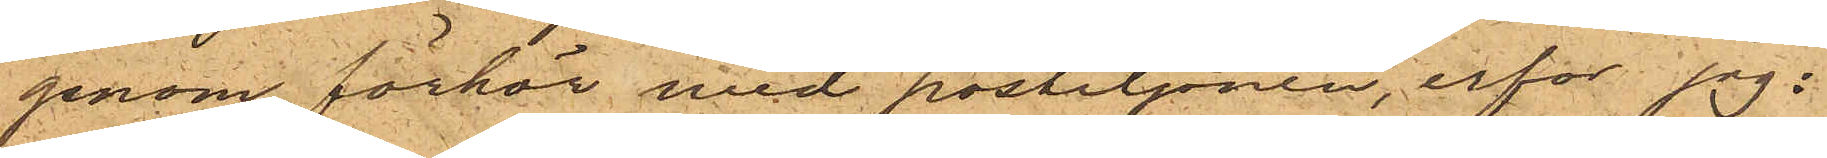genom förhör med postiljonen, erfor jag;
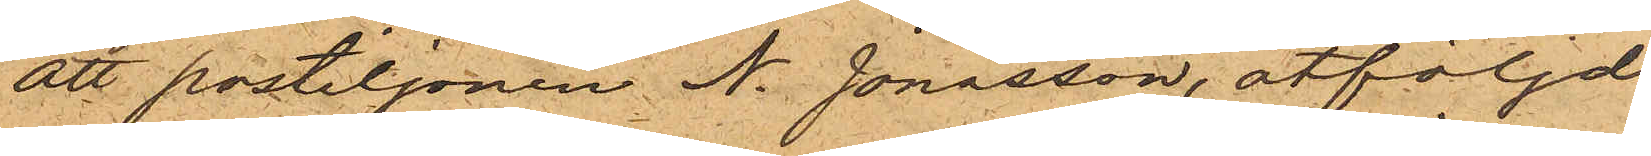att postiljonen N. Jonasson, åtföljd
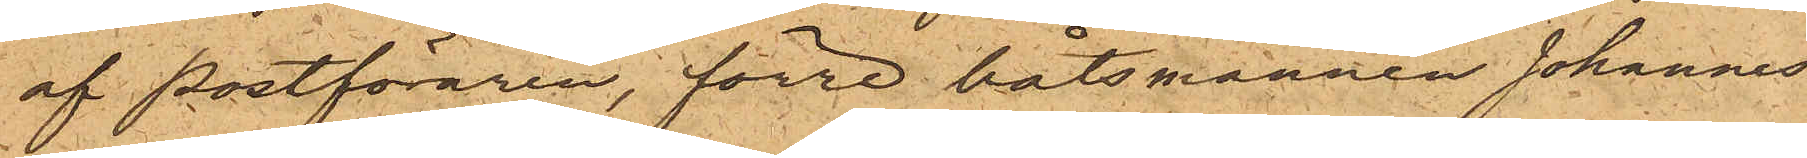af postföraren, förre båtsmannen Johannes
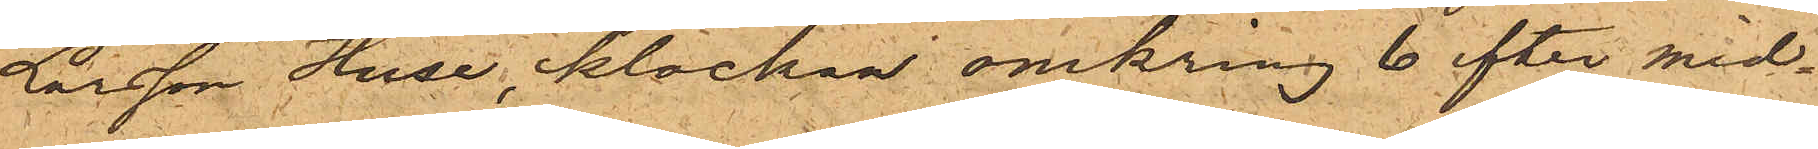Larsson Huse, klockan omkring 6 efter mid¬
